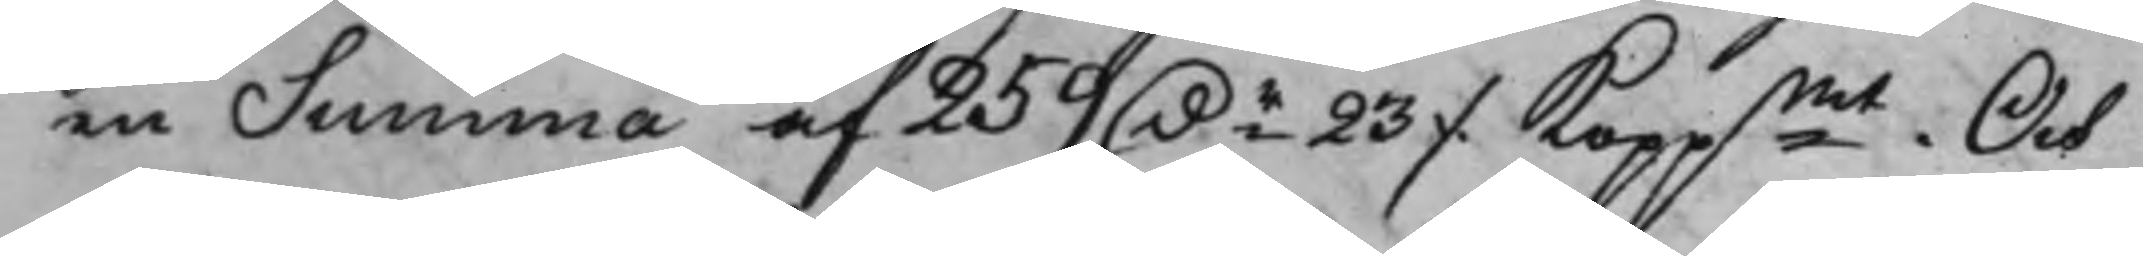en Summa af 259 D.r 23 ./. Koppmt. Och
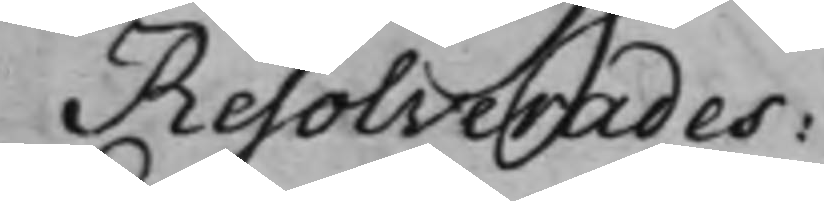Resolverades:
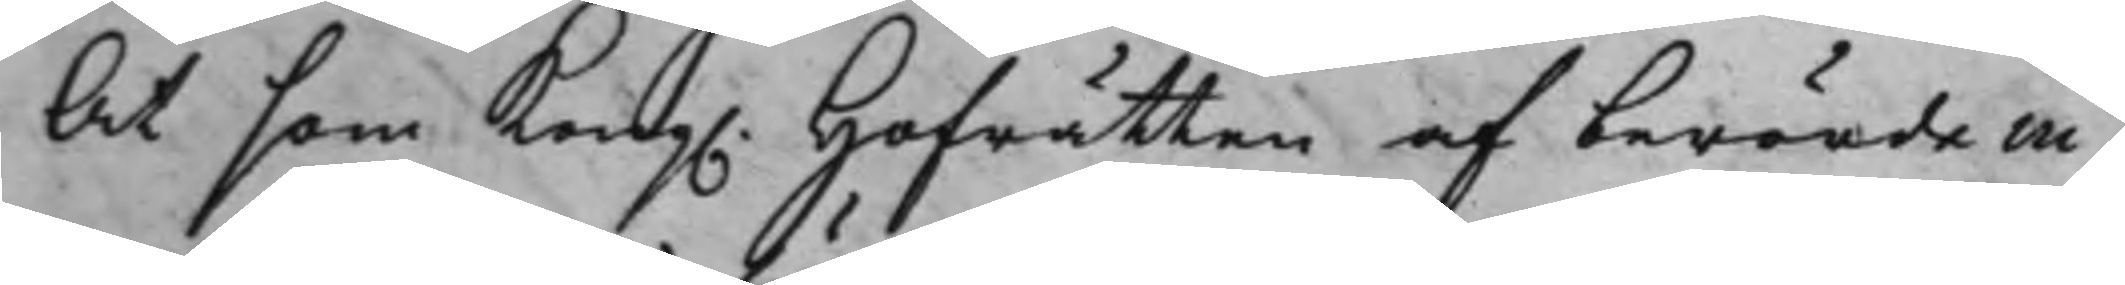At som Kong. Hofrätten af berörda in¬
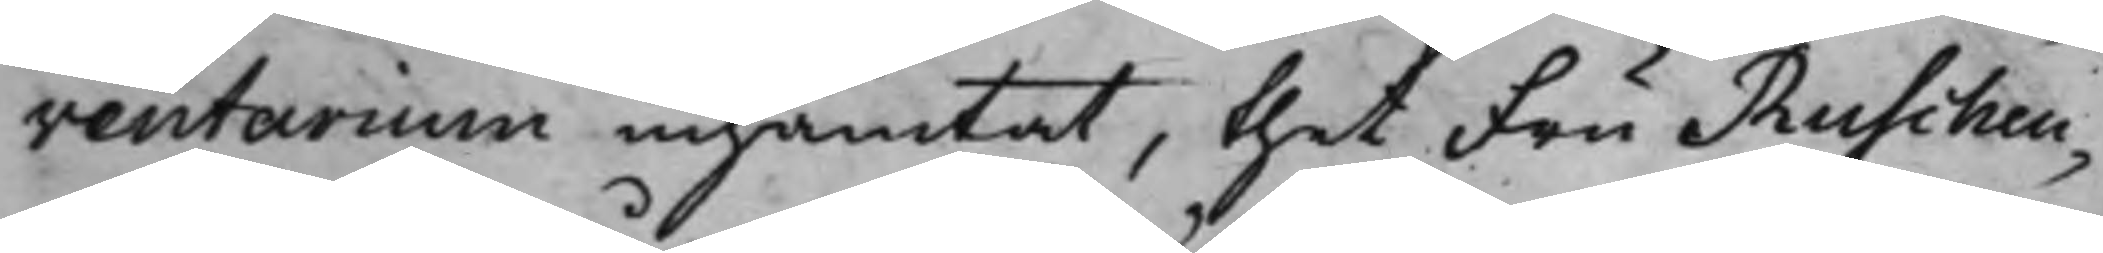ventarium inhämtat, thet Fru Ruschen¬
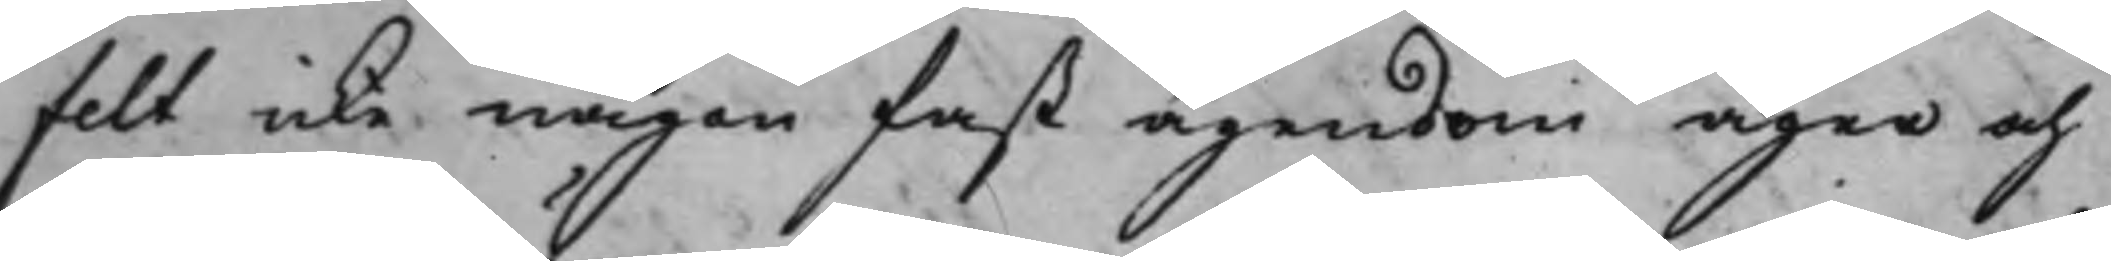felt icke någon fast ägendom äger och
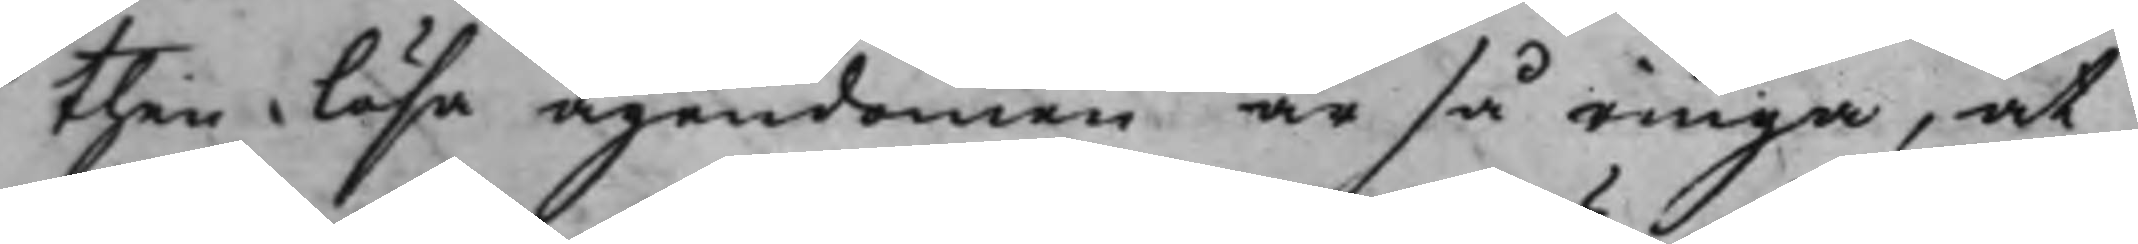then lösa ägendomen är så ringa, at
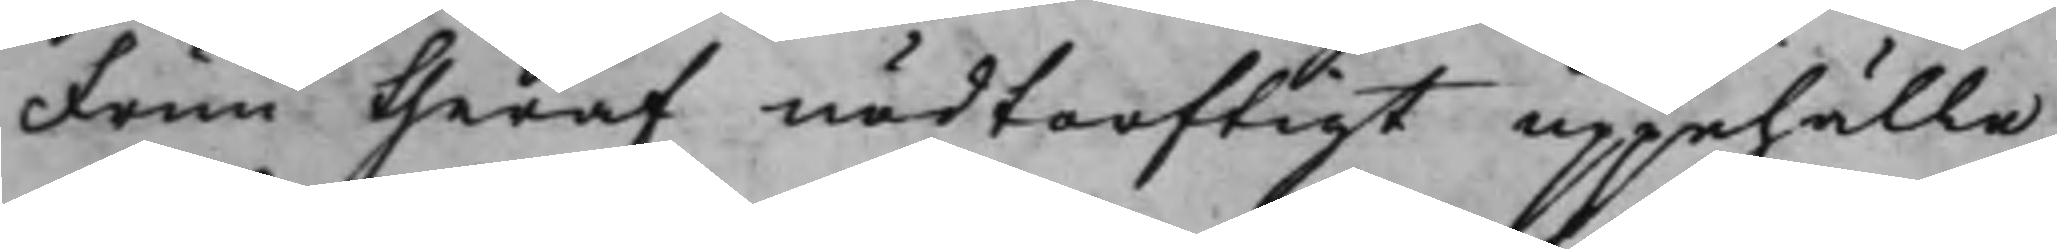Frun theraf nödtorftigt uppehälle
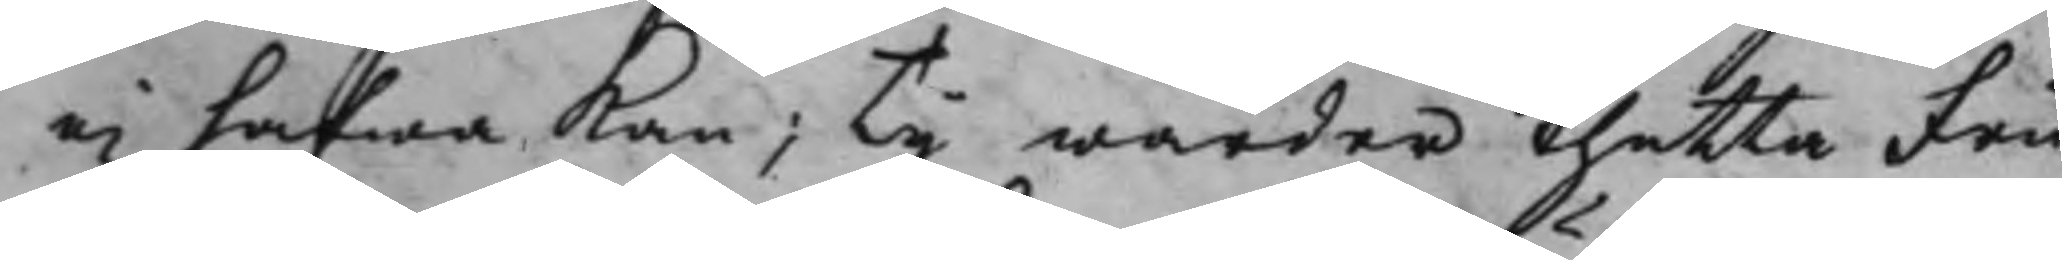ei hafwa Kan; Ty warder thetta Fru
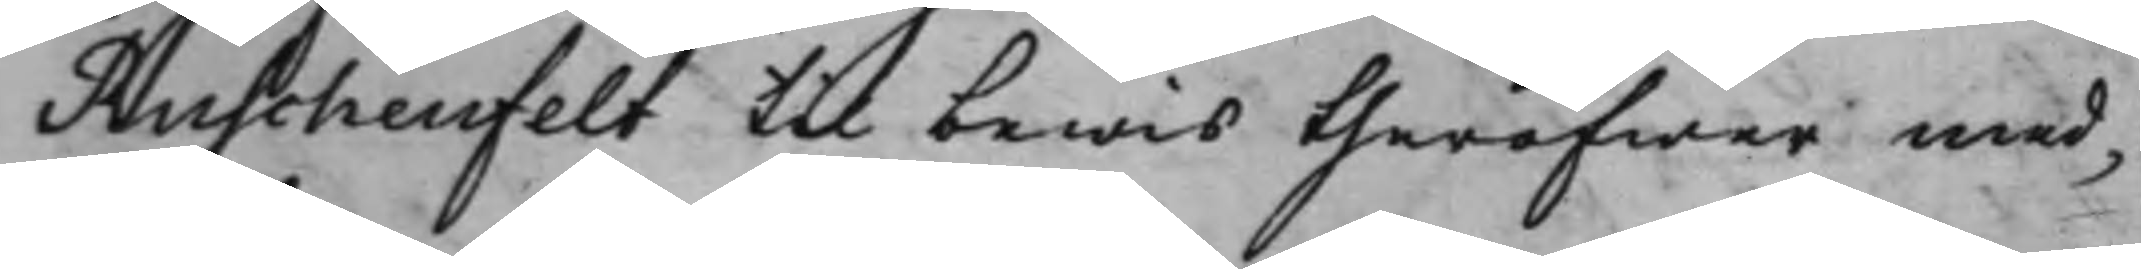Ruschenfelt til bewis theröfwer med¬
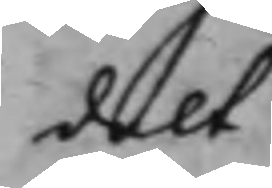delt.
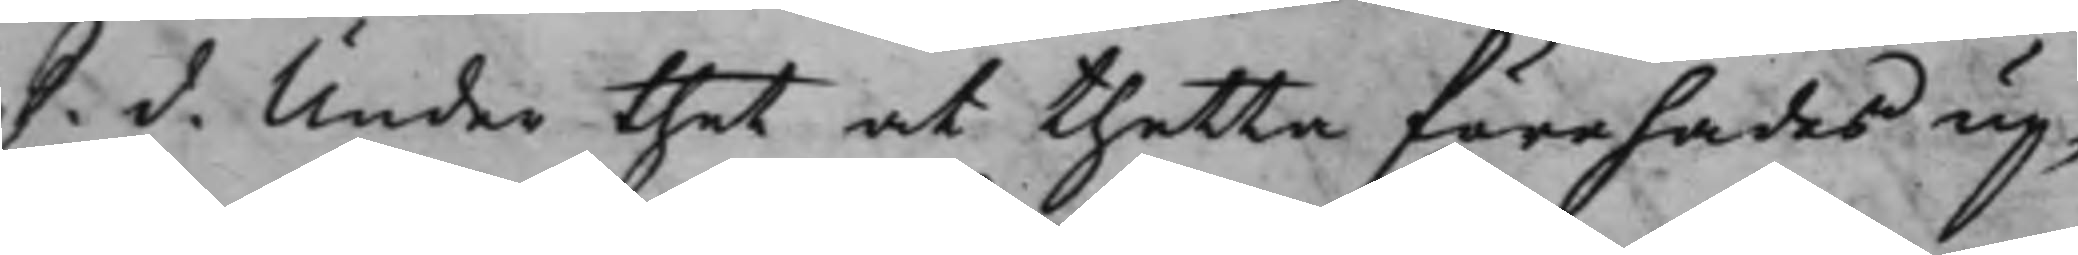S. d. Under thet at thetta förehades up¬
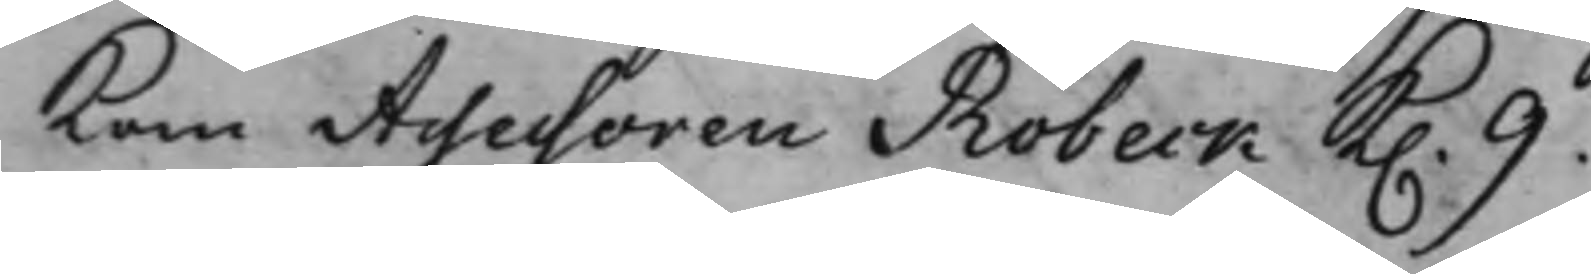Kom Assessoren Robeck K. 9.
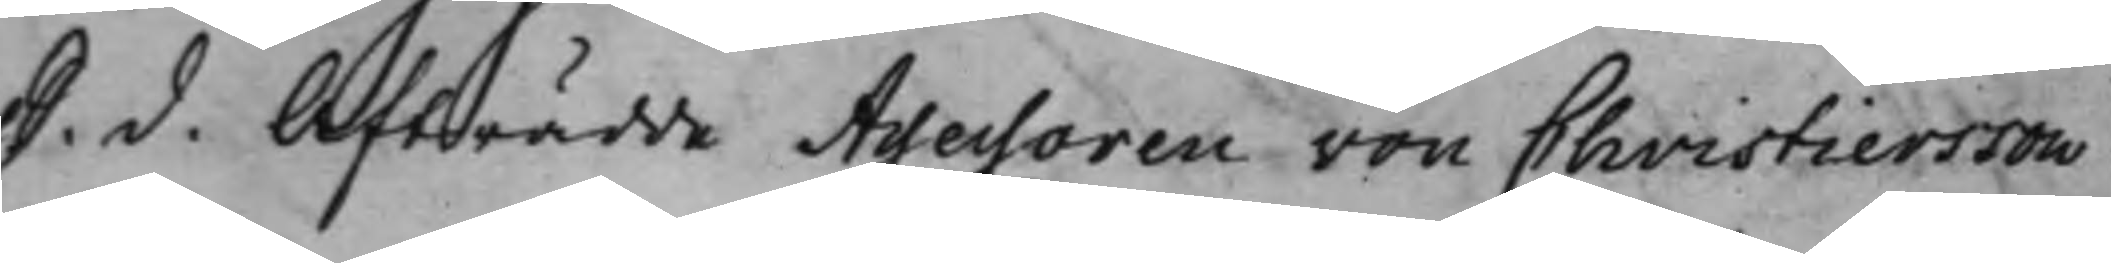S. d. Afträdde Assessoren von Christiersson
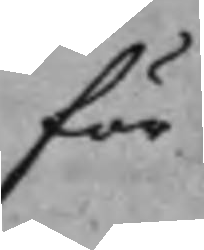för
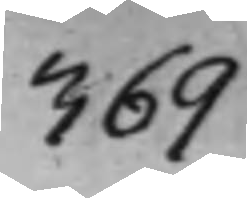369
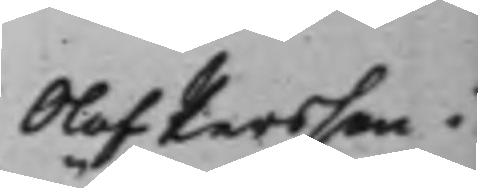Olof Persson i
